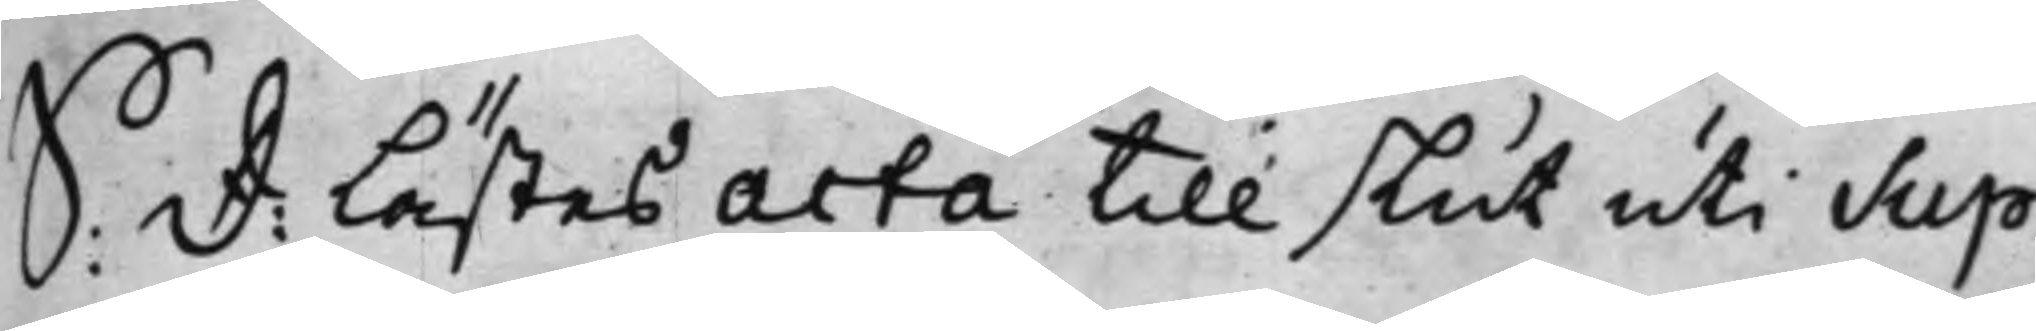S: D: Lästes Acta till slut uti Sup¬
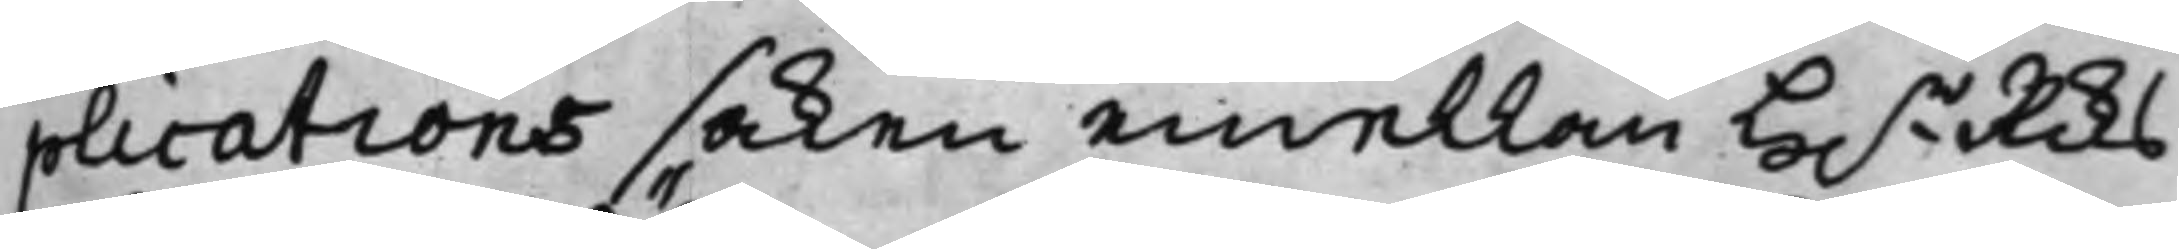plications saken emellan H.r Riks¬
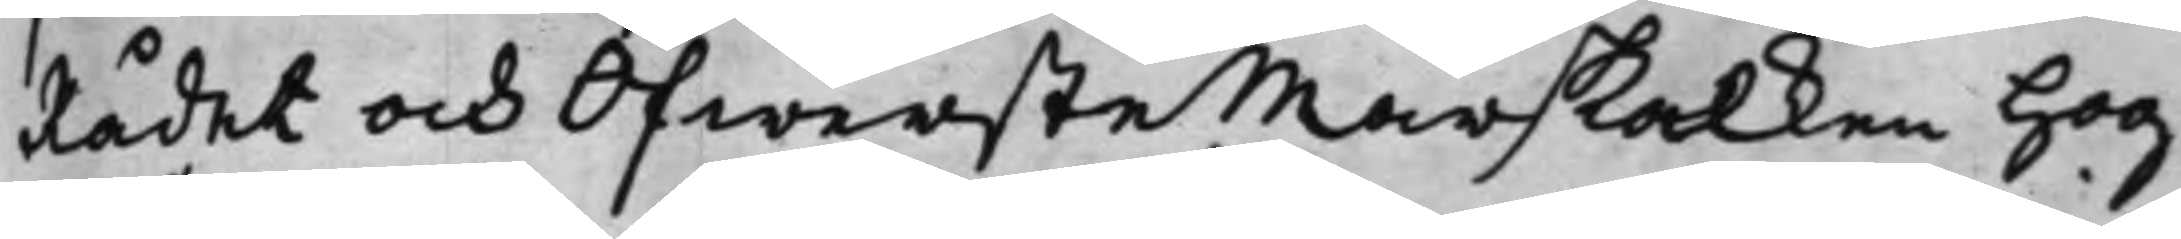Rådet och Öfwerste Marskalken Hög¬
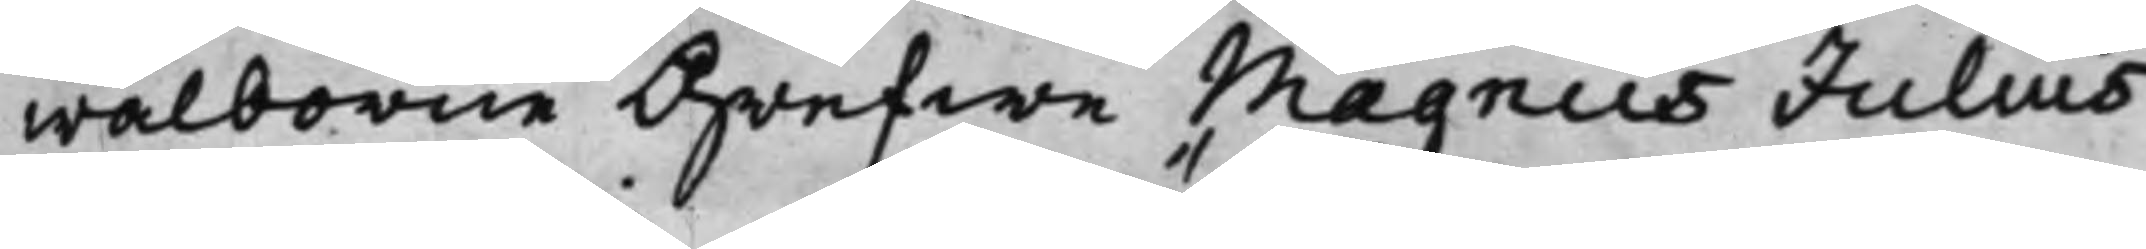wälborne Grefwe Magnus Julius
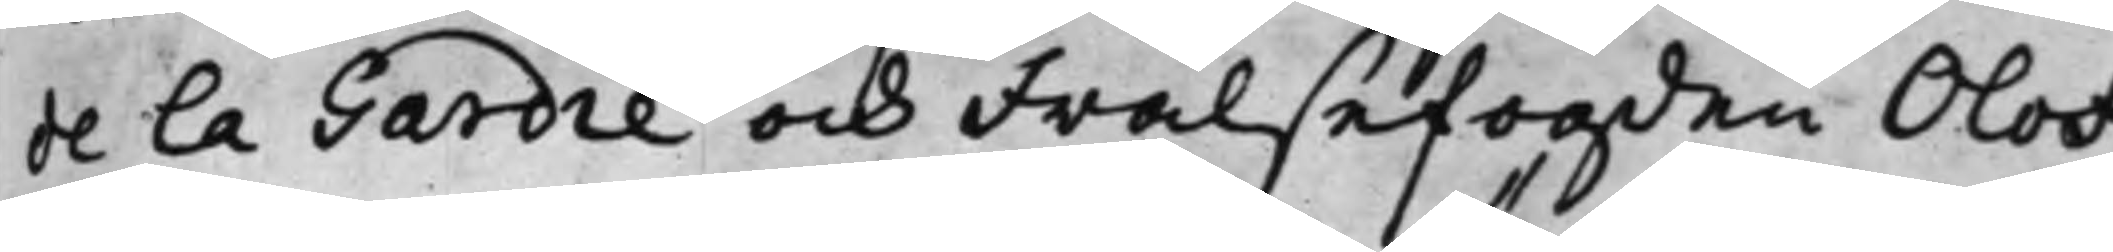de la Gardie och Frälsefogden Olof
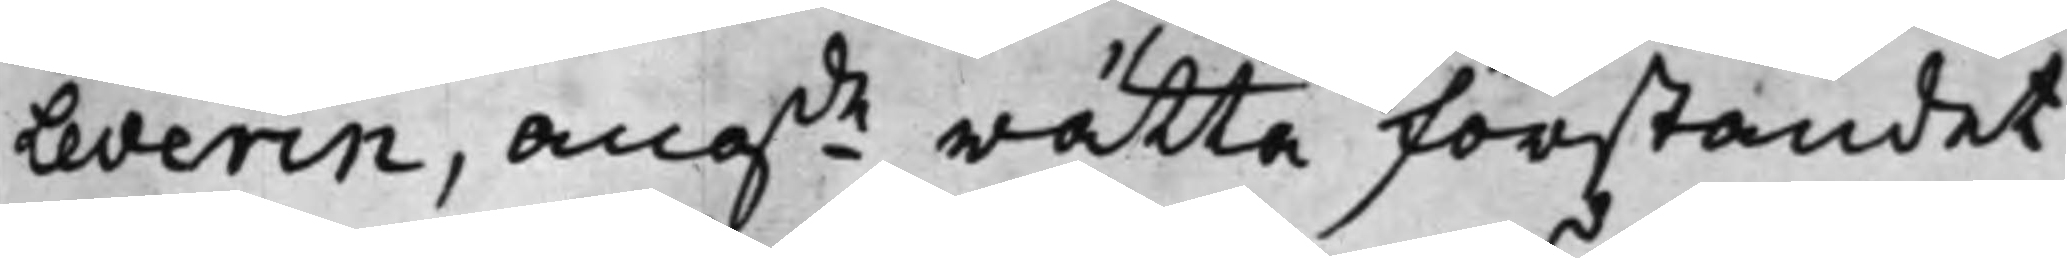Leverin, angde rätta förståndet
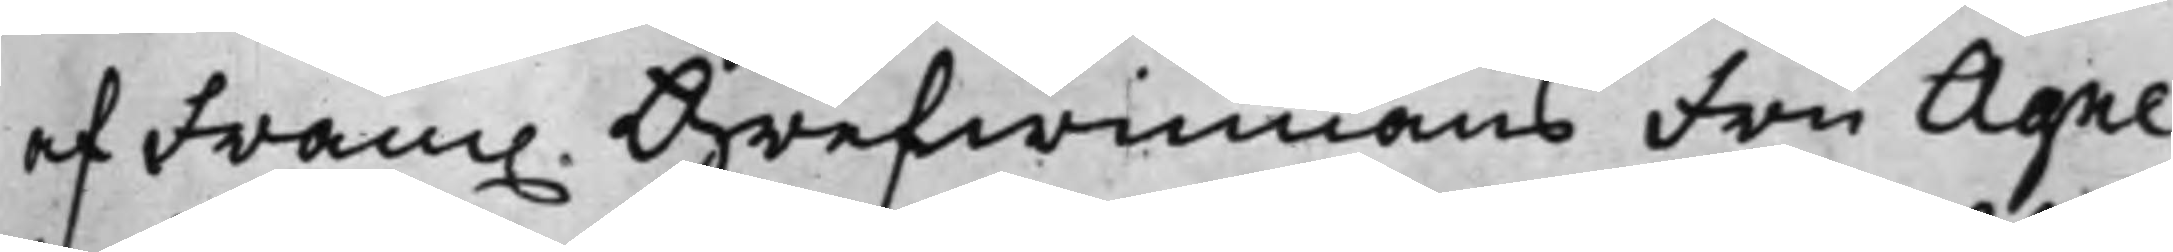af fram. Grefwinnans Fru Agne¬
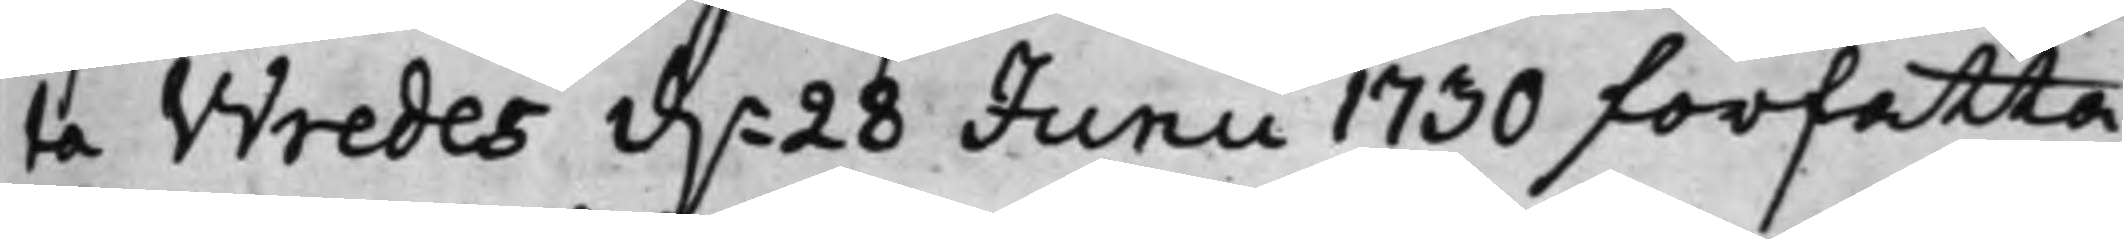ta Wredes d.n 28 Junii 1730 författa¬
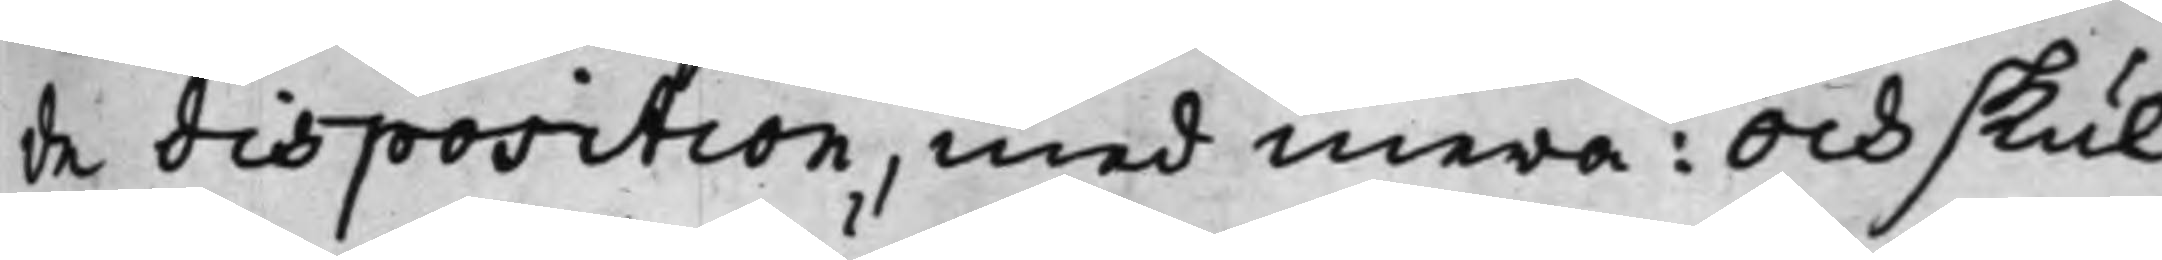de disposition, med mera: Och skul¬
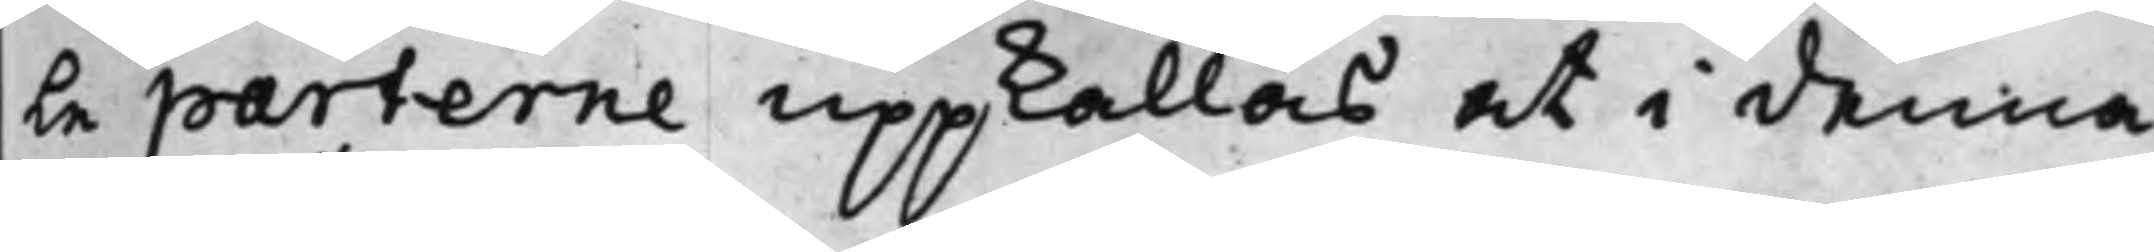le parterne uppkallas at i denna
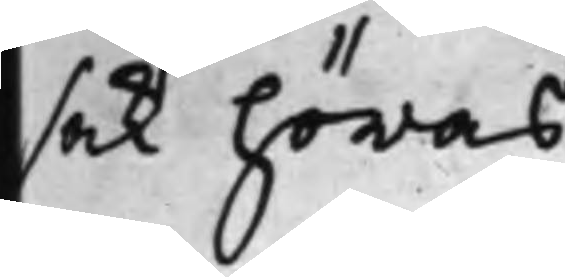sak höras.
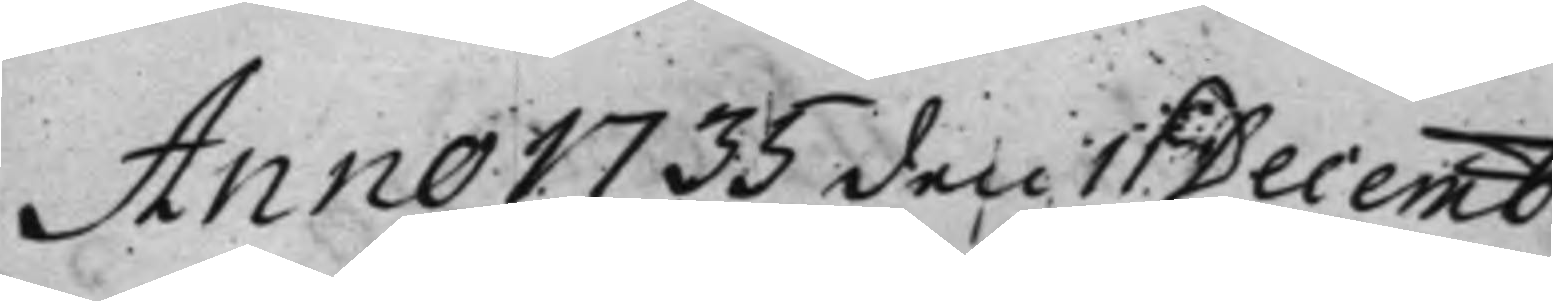Anno 1735 den 11 Decemb.
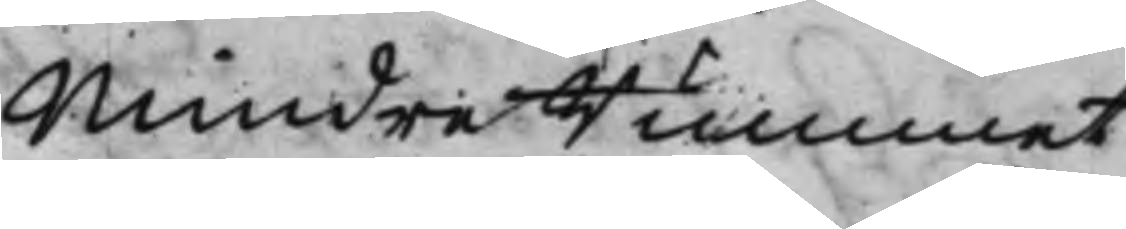Mindre Rummet
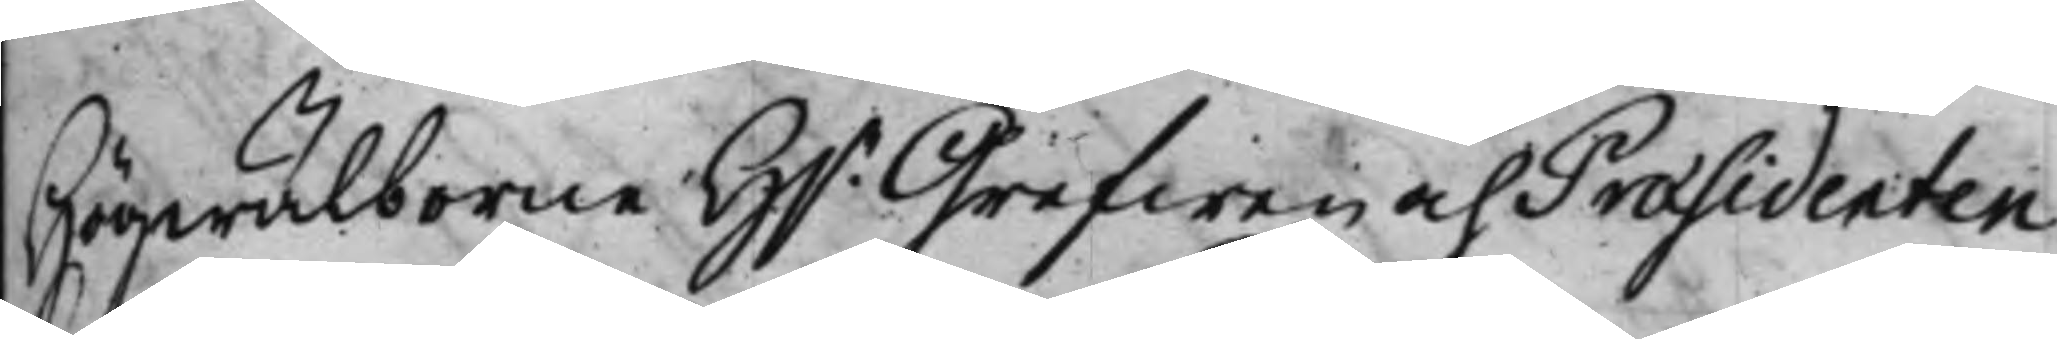Högwälborne H.r Grefwen och Præsidenten
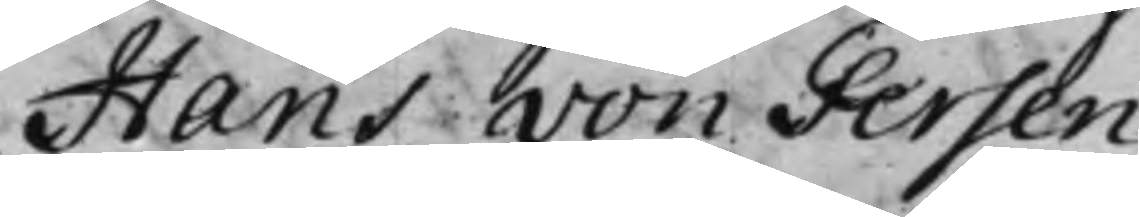Hans von Fersen
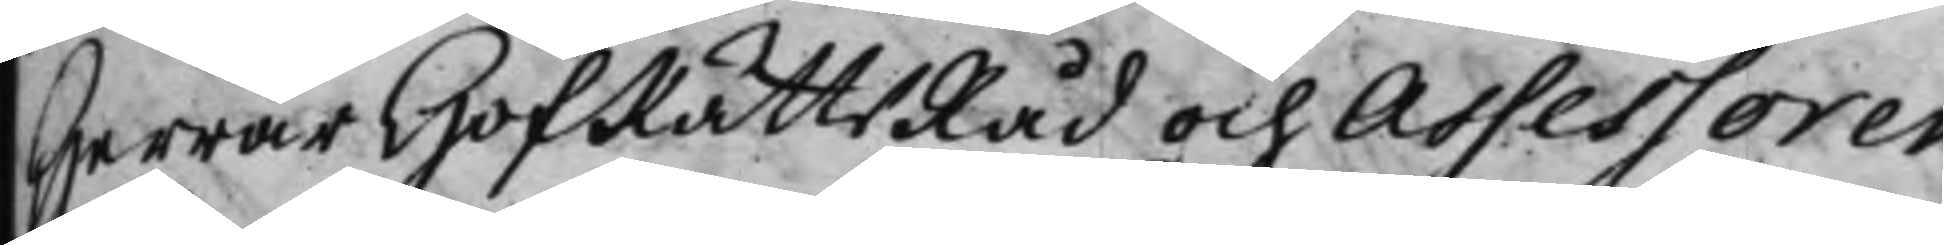Herrar HofRättsRåd och Assessorer
